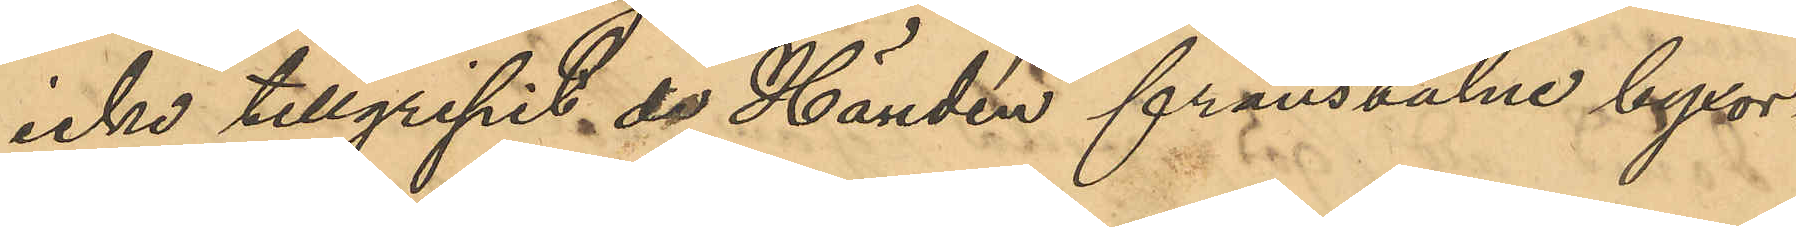icke tillgripit de Händén frånstulne byxor¬
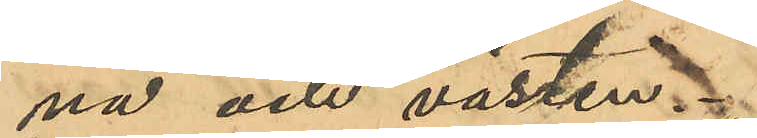na och västen.
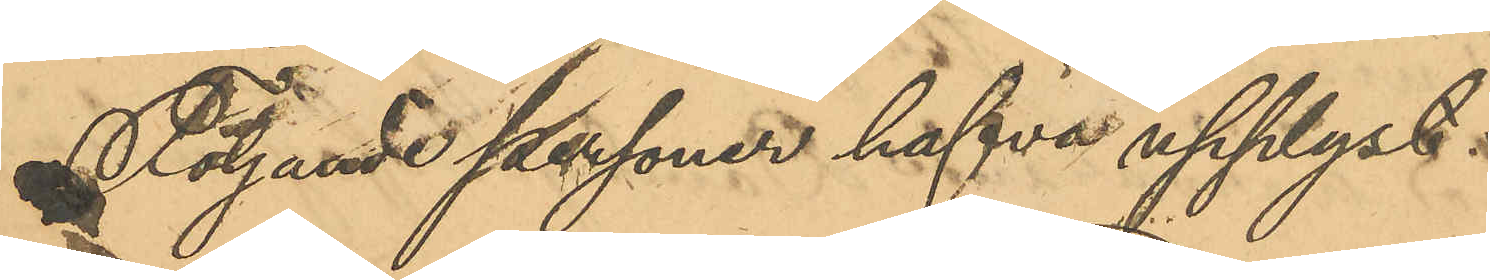Följande personer hafva upplyst:
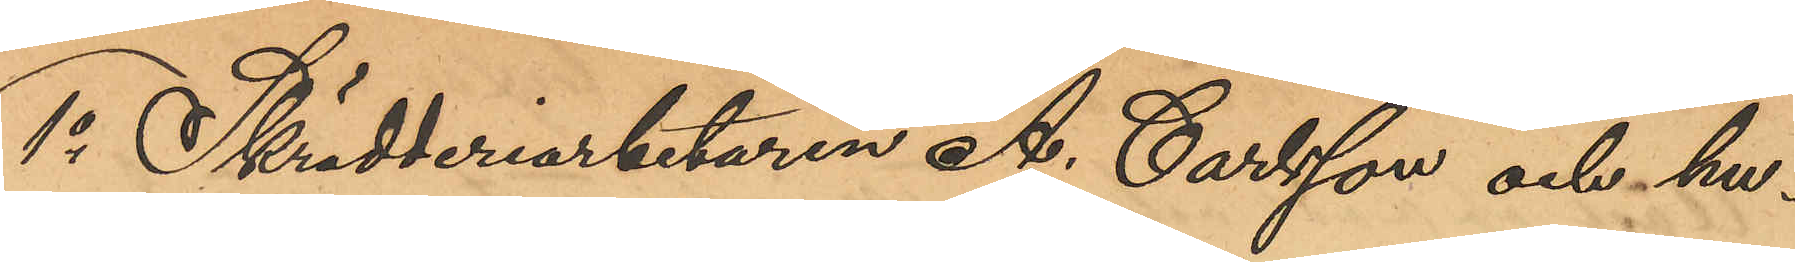1o Skrädderiarbetaren A. Carlsson och hu¬
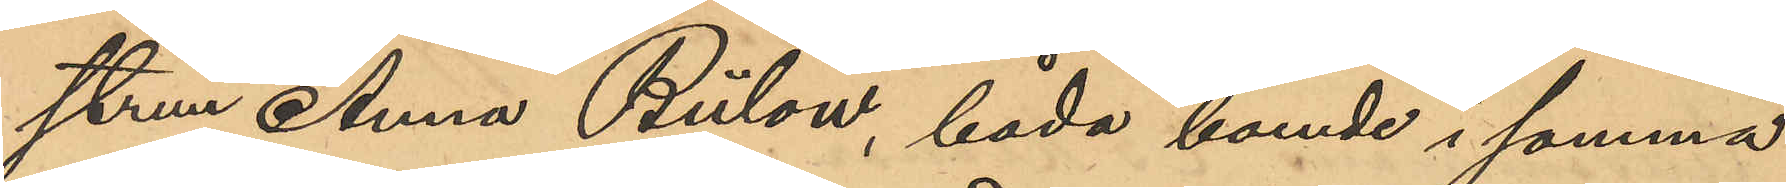strun Anna Bülow, båda boende i samma
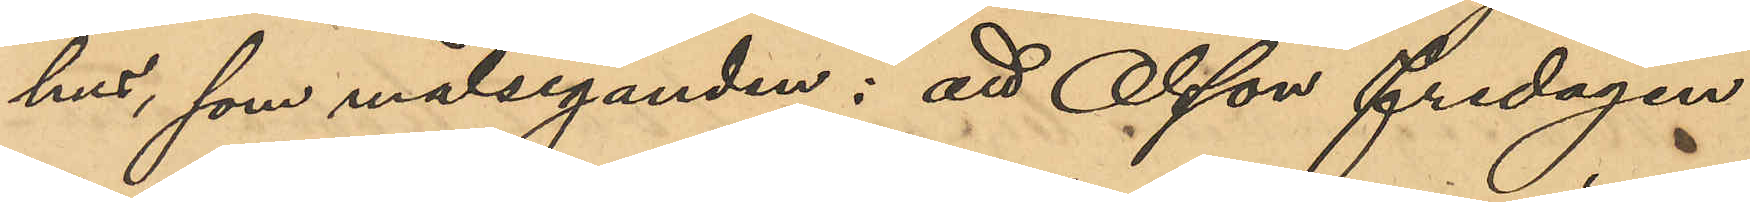hus, som målseganden: att Olsson fredagen
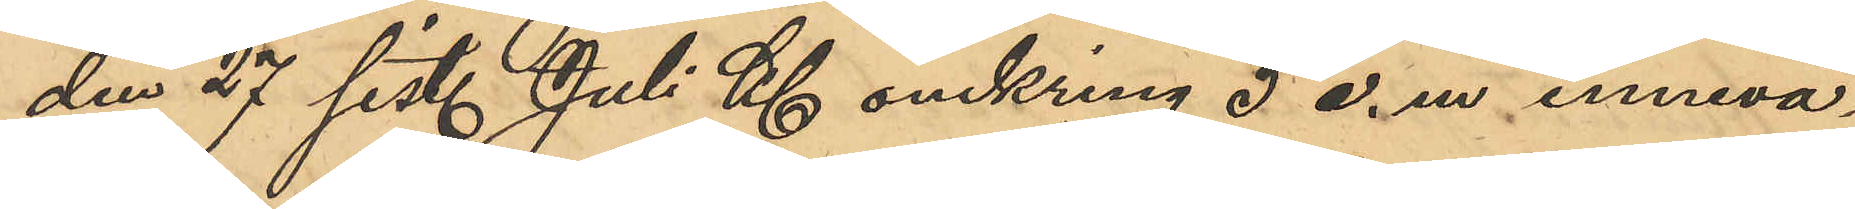den 27 sist. Juli kl omkring 5 e. m. inneva¬
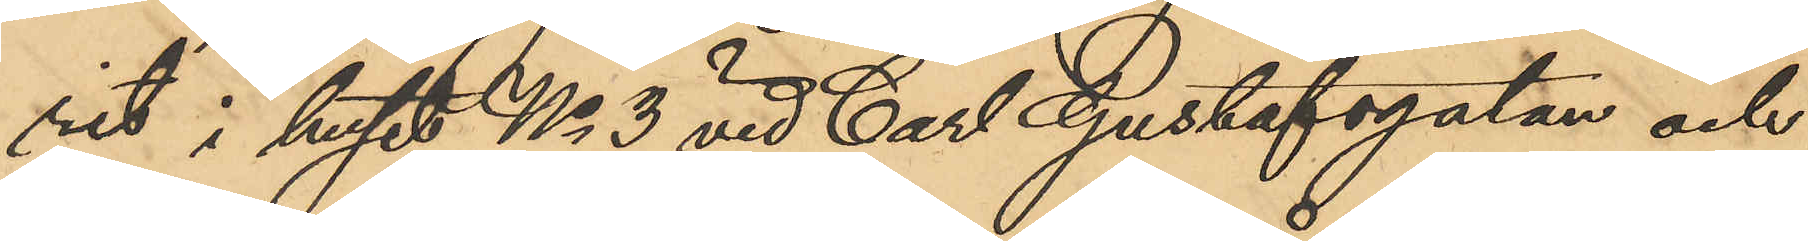rit i huset No 3 vid Carl Gustafsgatan och
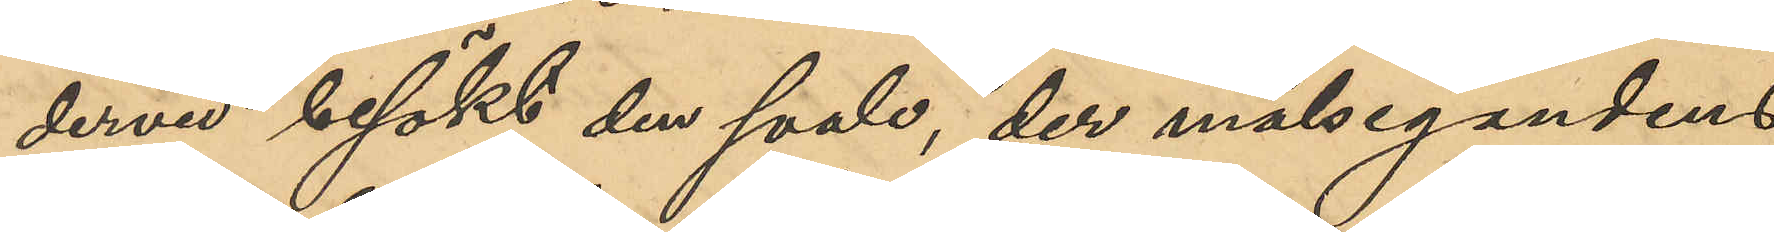dervid besökt den svale, der målsegandens
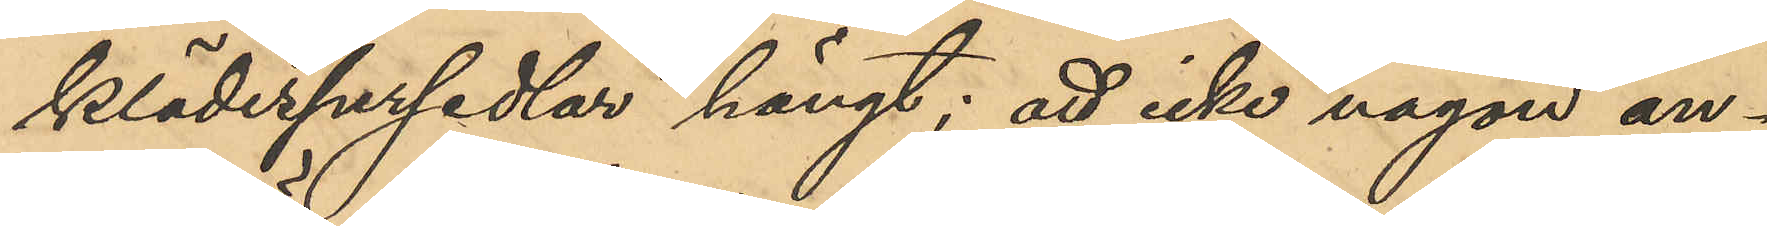klädespersedlar hängt; att icke någon an¬
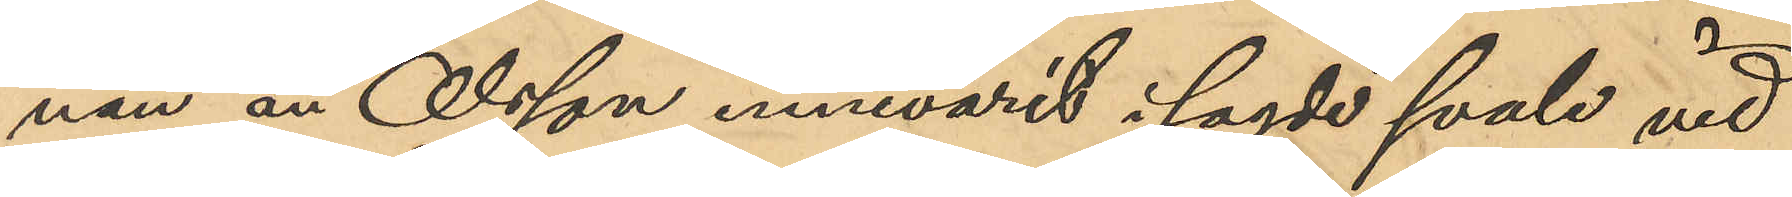nan än Olsson innevarit i sagde svale vid
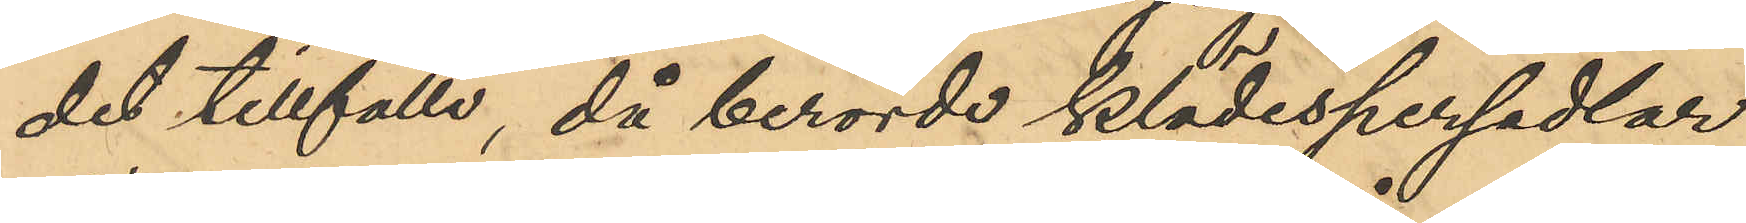det tillfälle, då berörde klädespersedlar
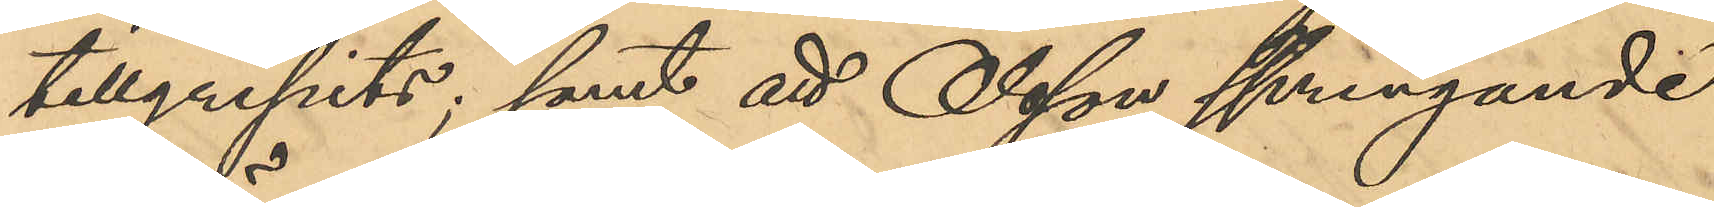tillgripits; samt att Olsson springande
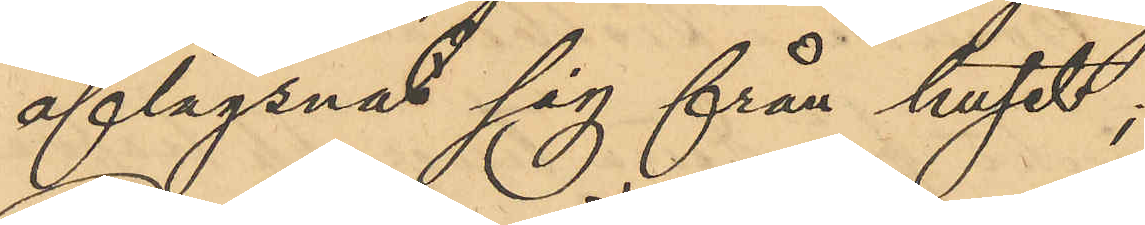aflägsnat sig från huset,
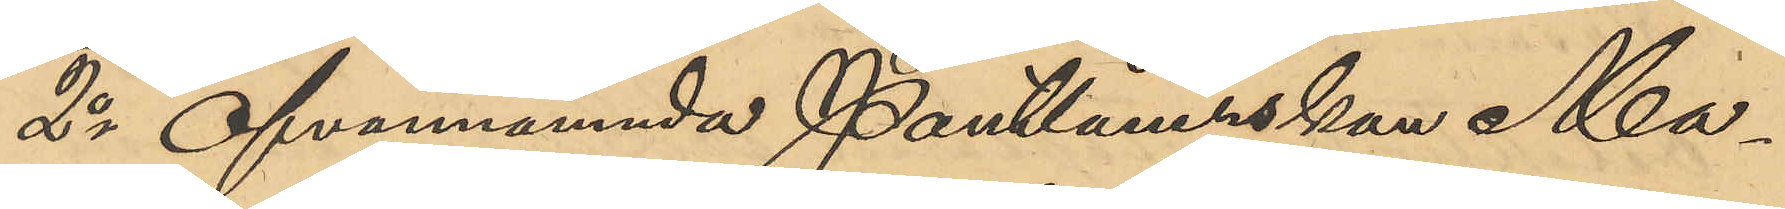2o Ofvannämnda Pantlånerskan Ma¬
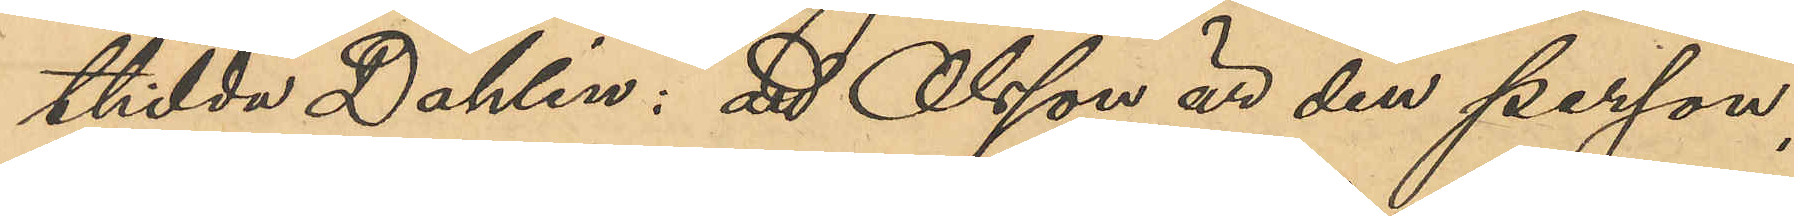thilda Dahlin: att Olsson är den person
